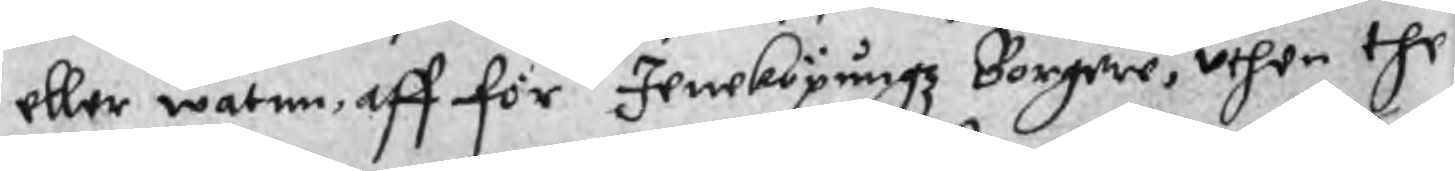eller watnn, aff förne Jeneköpungz Borgere, uthen the
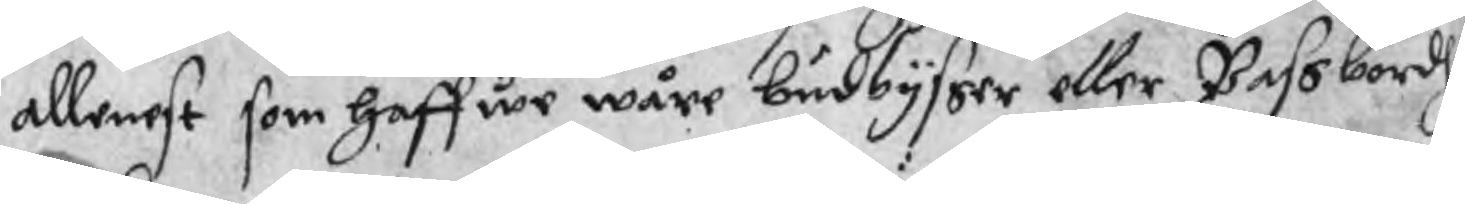allenast som haffwe wåre budbysser eller Passbordh
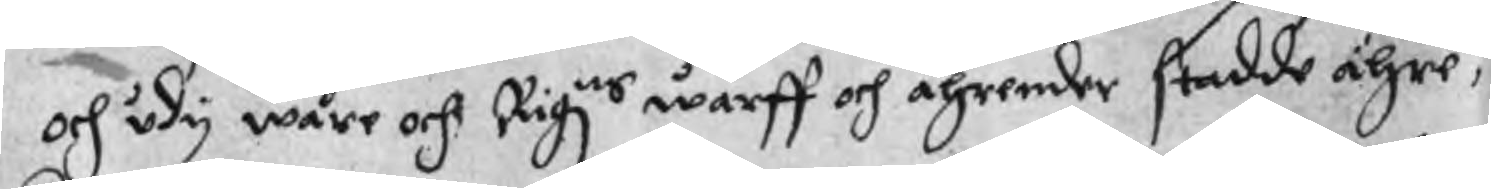och udy wåre och Rigzns wärff och ährender stadde ähre,
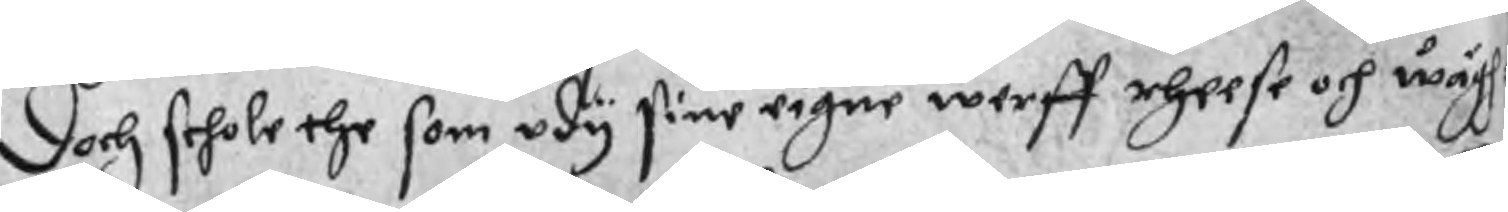Doch schole the som udy sine eigne werff rheese och wägh¬
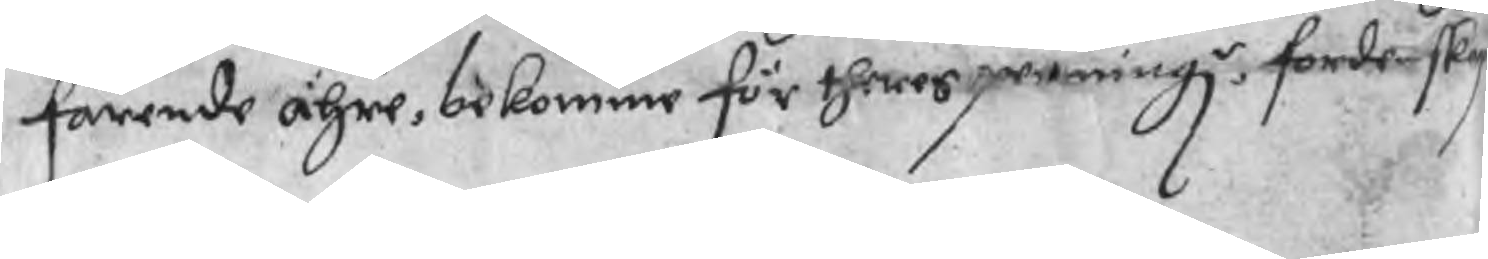farende ähre bekomme för theres penningzr forde sky
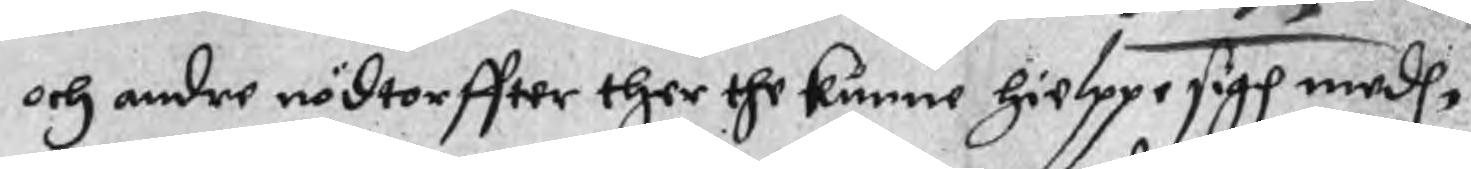och andre nödtorffter ther the kunne hielppe sigh medh,
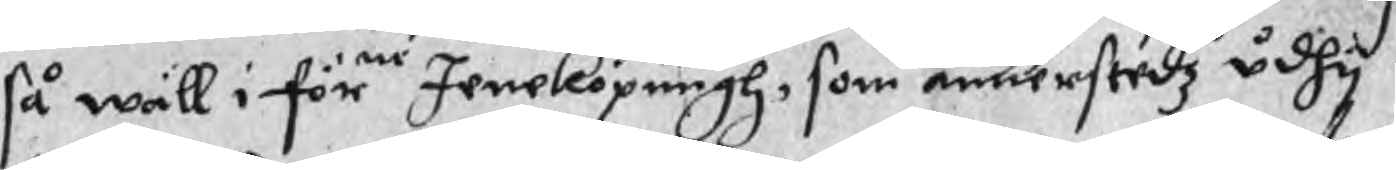så wäll i förne Jeneköpungh, som annerstedz udhy
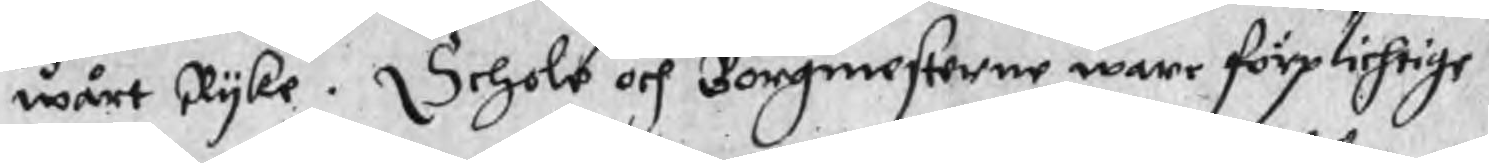wårt Ryke. Schole och Borgmesterne ware förplichtige
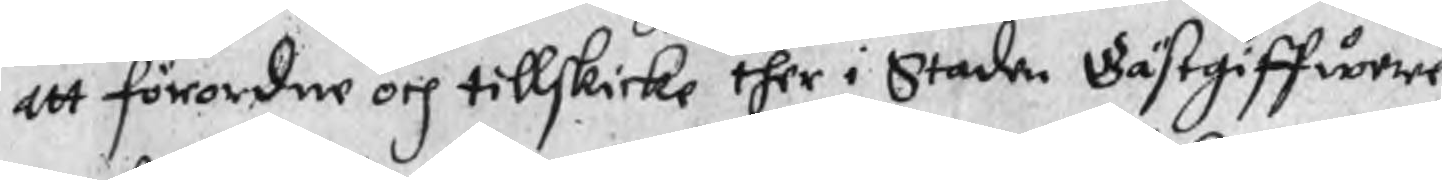att förordne och tillskicke ther i Staden Gästgiffwere
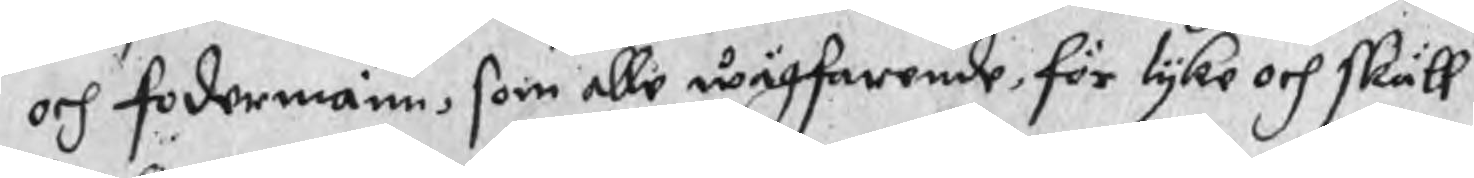och fodermänn, som alle wägfarende, för lyke och skäll
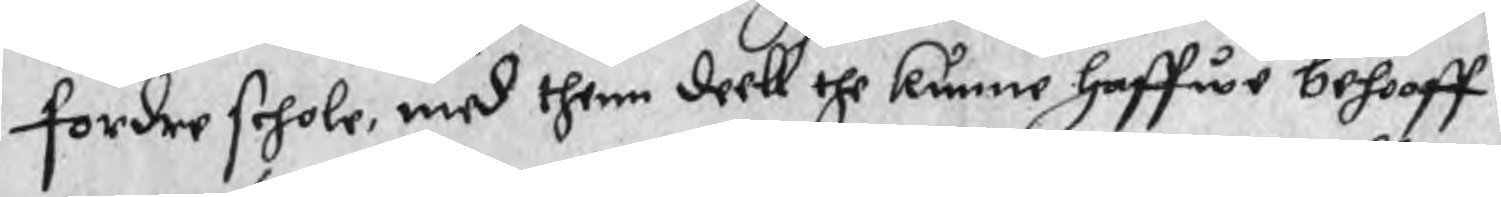fordre schole, med thenn deell the kunne haffwe behooff
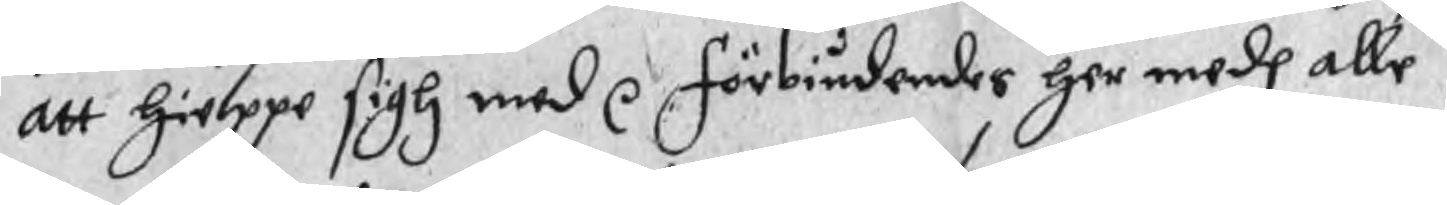att hielppe sigh med r Förbiudander her medh alle
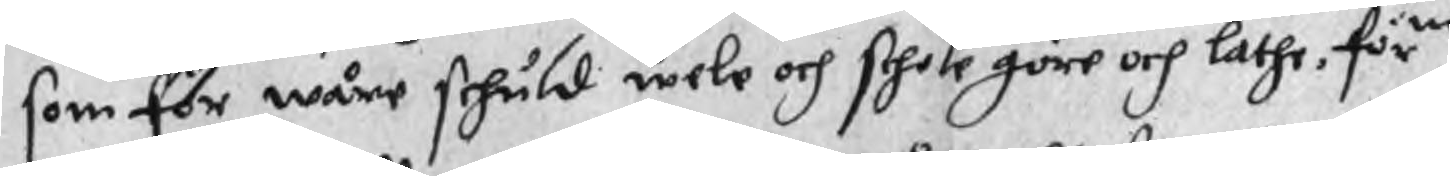som för wåre schuld wele och schole göre och lathe, förne
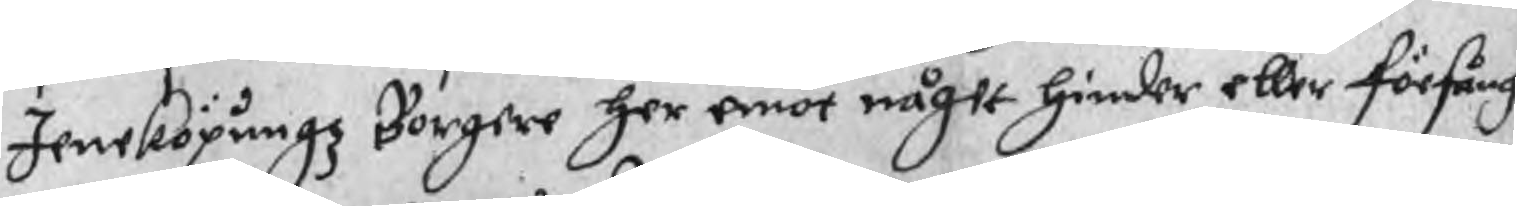Jeneköpungz Borgere her emot något hinder eller förfång
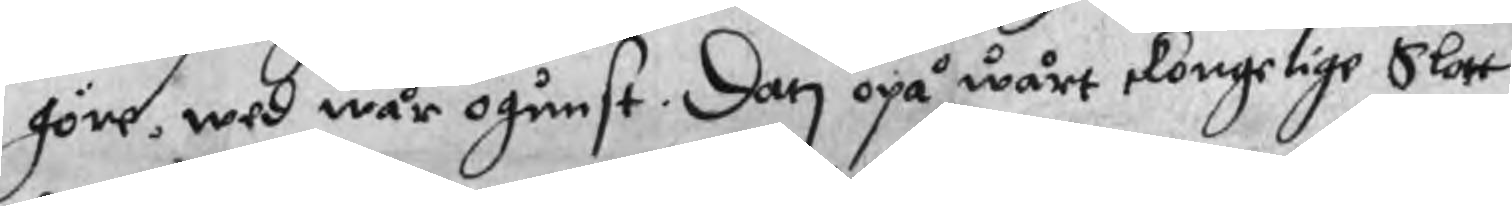göre, wed wår ogunst. Dat opå wårt Kongelige Slott
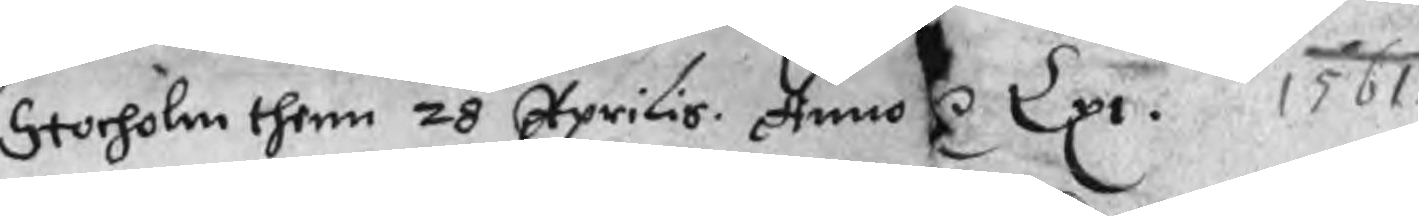Stocholm thenn 20 Aprilis. Anno r Lpr. 1561.
